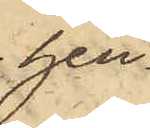hen¬
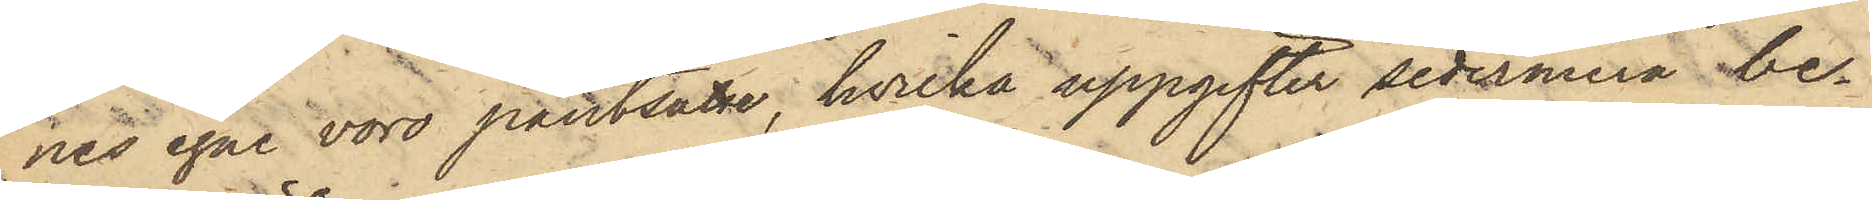nes egne voro pantsatte, hvilka uppgifter sedermera be¬
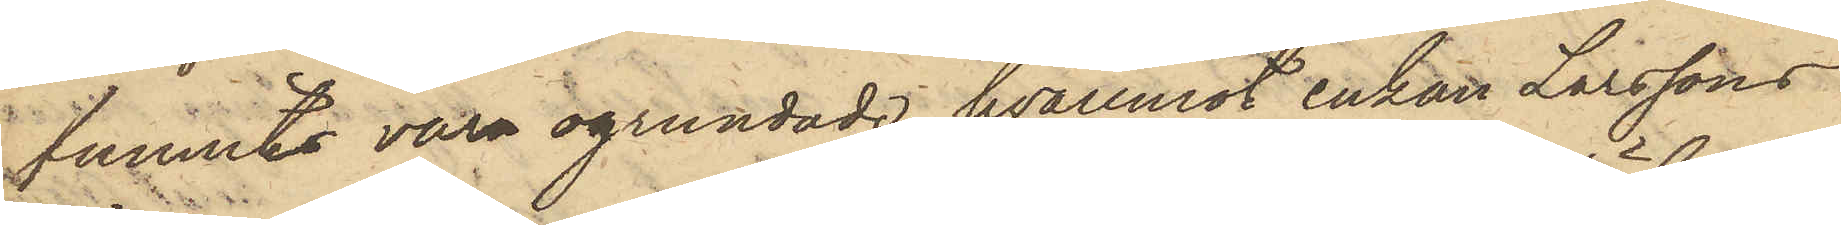funnits vara ogrundade, hvaremot enkan Larssons
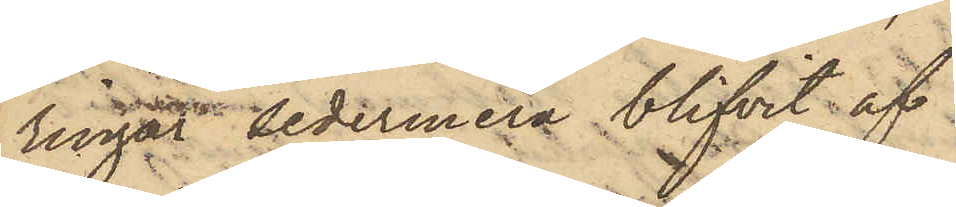ringar sedermera blifvit af
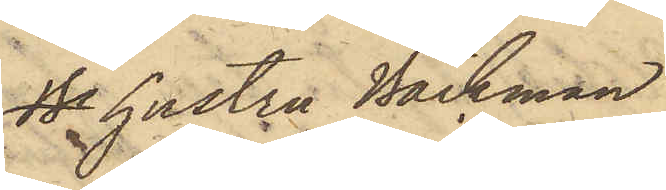Ba hustru Bäckman
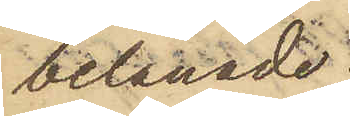belånade.
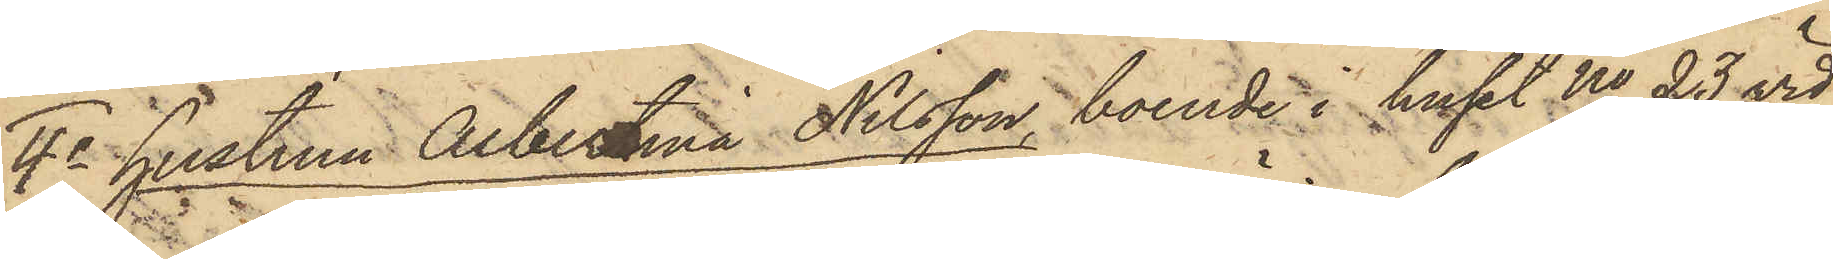4o hustrun Albertina Nilsson, boende i huset No 23 vid
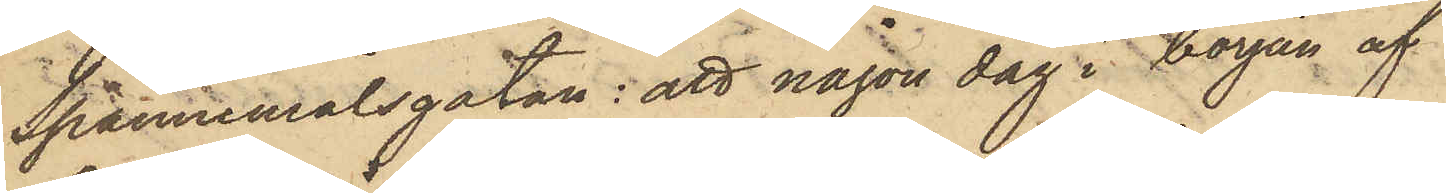Spannemålsgatan: att någon dag i början af
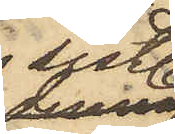sistl.
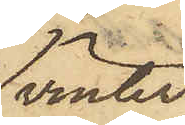vinter,
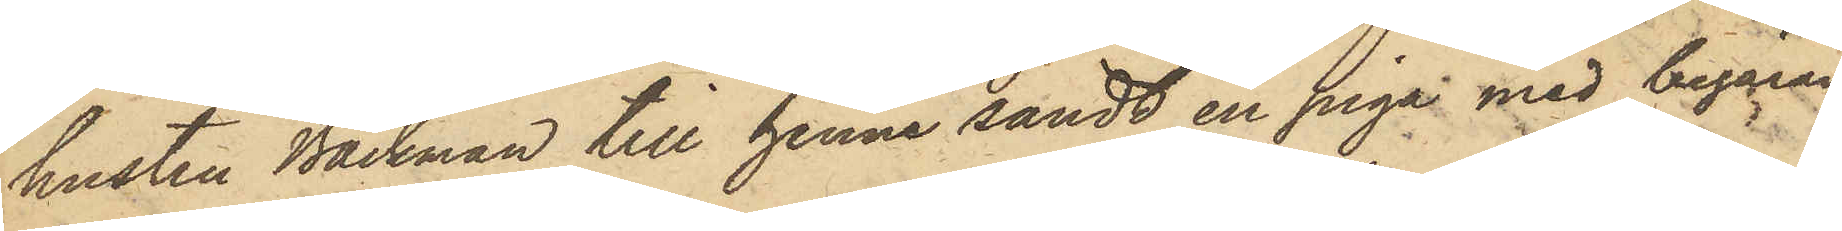hustru Bäckman till henne sändt en piga med begäran
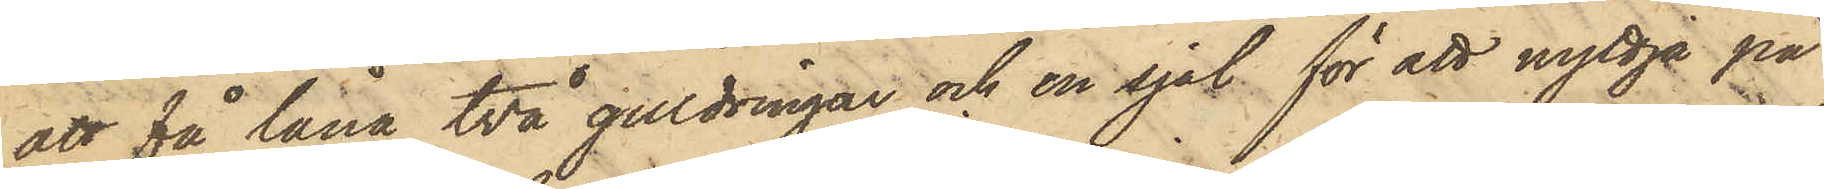att få låna två guldringar och en sjal för att nyttja på
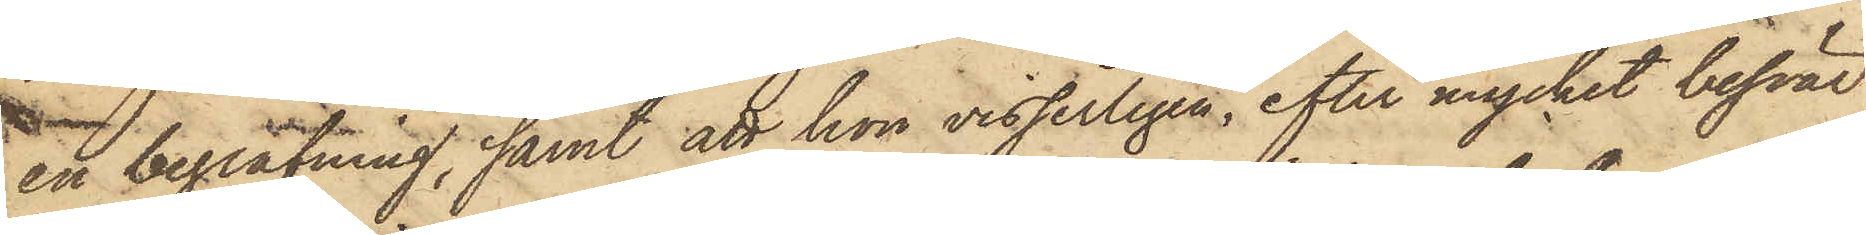en begrafning, samt att hon visserligen, efter mycket besvär,
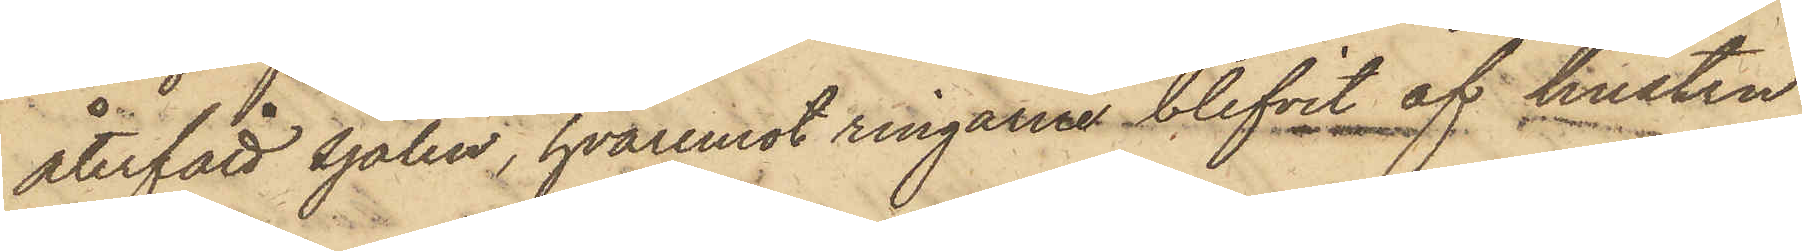återfått sjalen, hvaremot ringarne blifvit af hustru
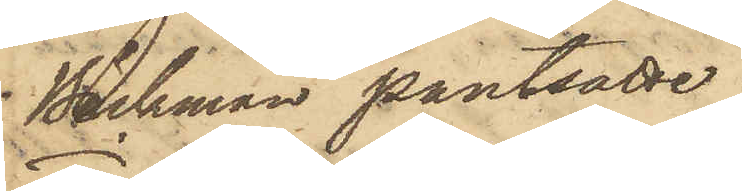Bäckman pantsatte;
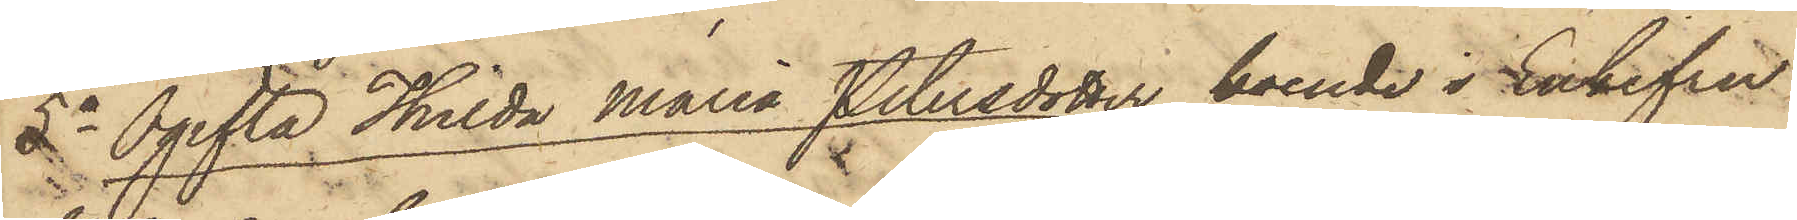5o Ogifta Thilda Maria Petersdotter, boende i Enkefru
